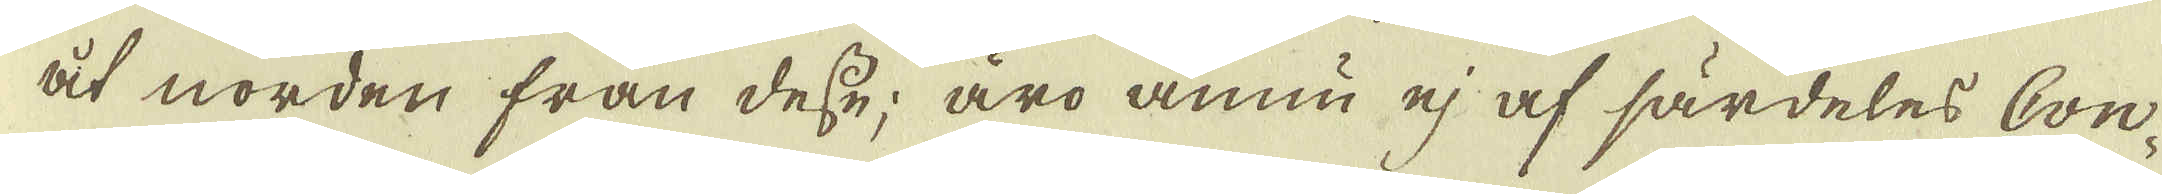åt norden från desse; äro ännu ej af särdeles Con-
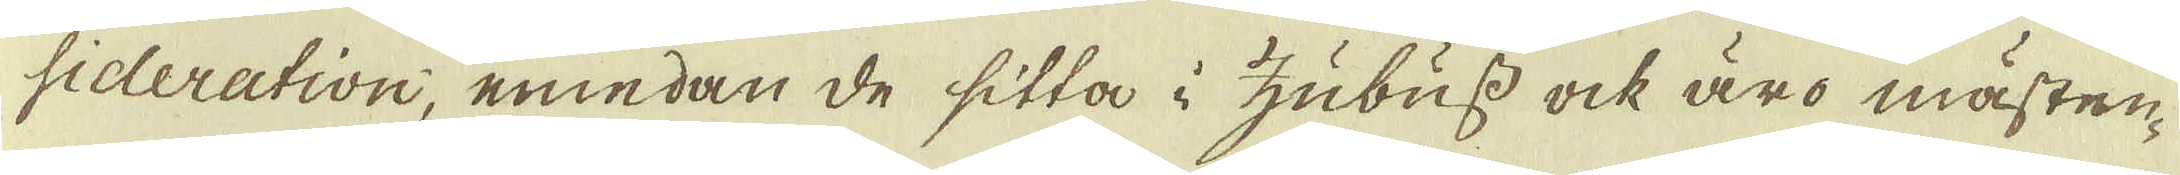sideration, emedan de sitta i Zubuss ock äro mästen-
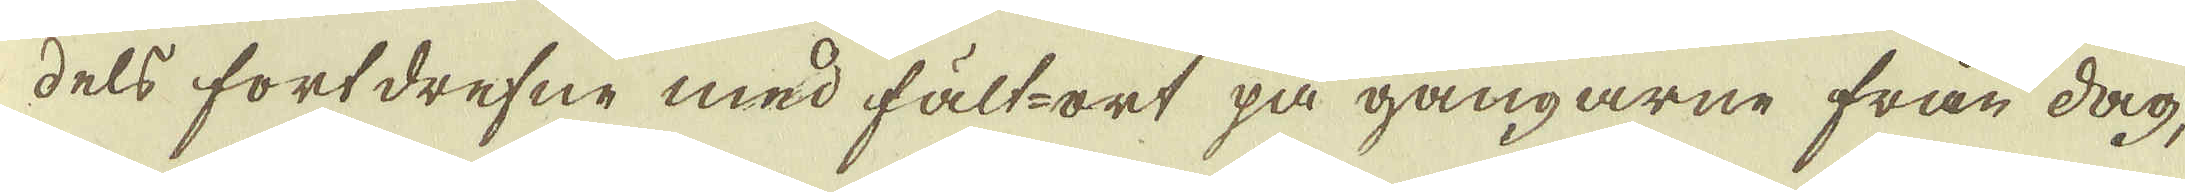dels fortdrefne med fält-ort på gångarne från dag,
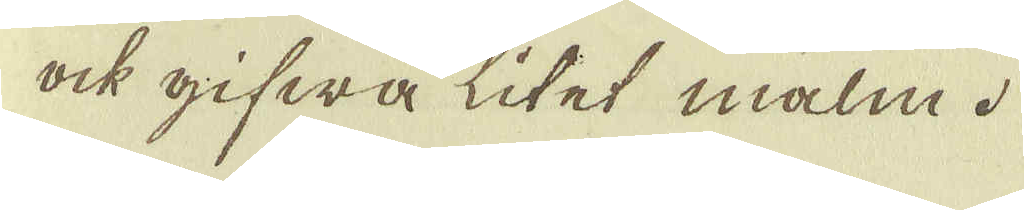ock gifwa litet malm.
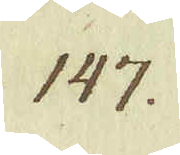147.
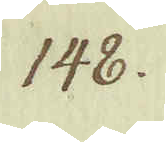148.
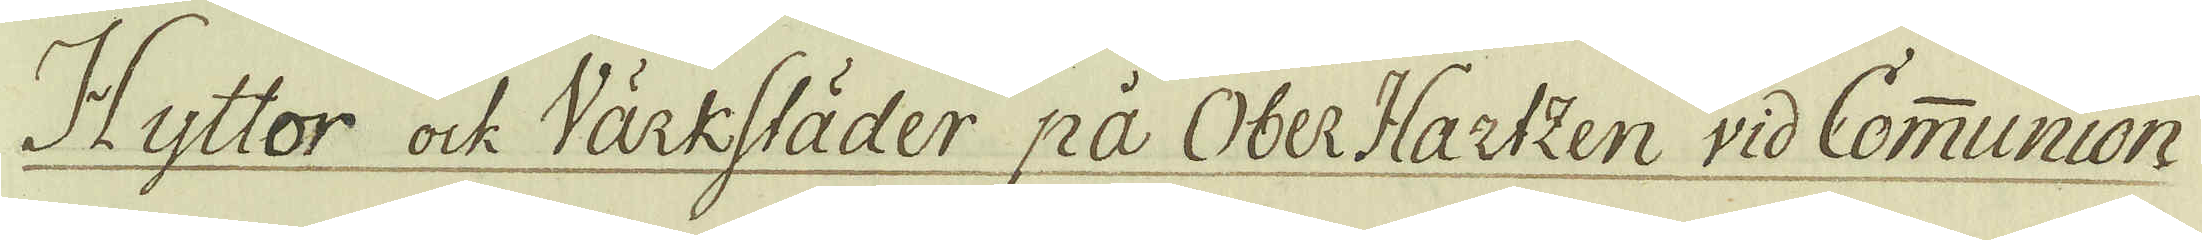Hyttor ock Värkstäder på Ober Hartzen vid Communion
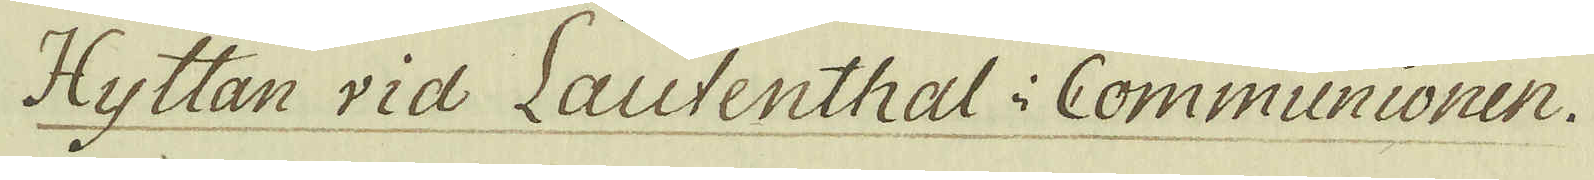Hyttan vid Lautenthal i Communionen.
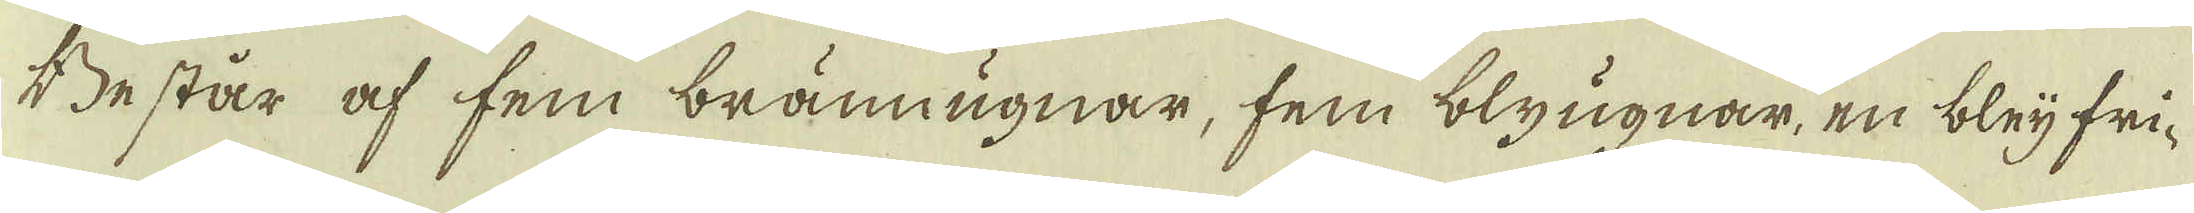Består af fem brännugnar, fem blyugnar, en bleij fri-
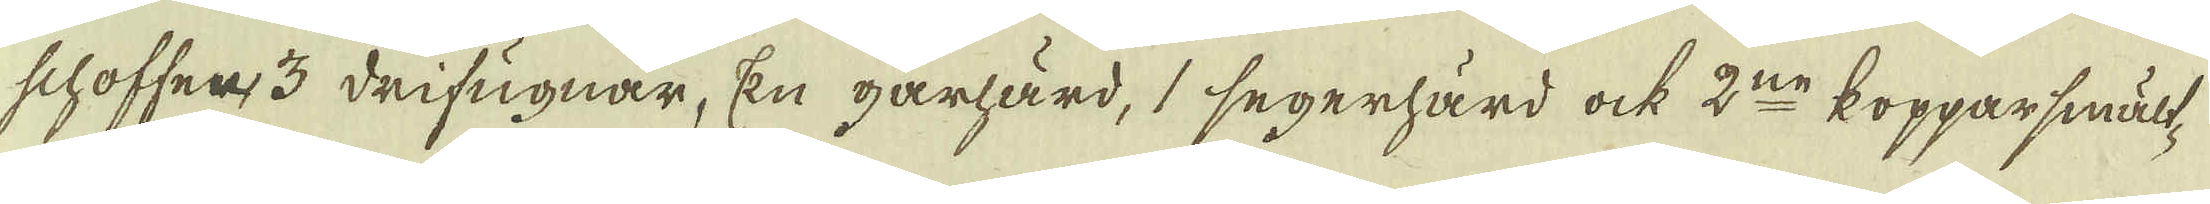schoffen, 3 drifugnar, En gårhärd, 1 segerhärd ock 2:ne kopparsmält-
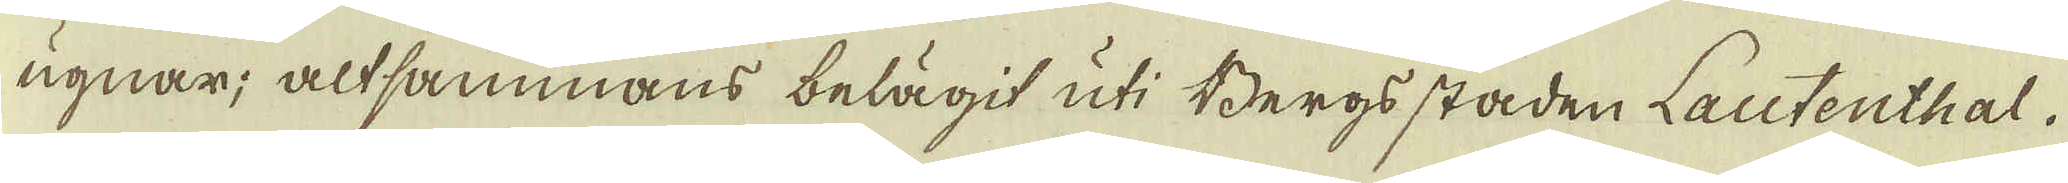ugnar; altsammans belägit uti Bergs staden Lautenthal.
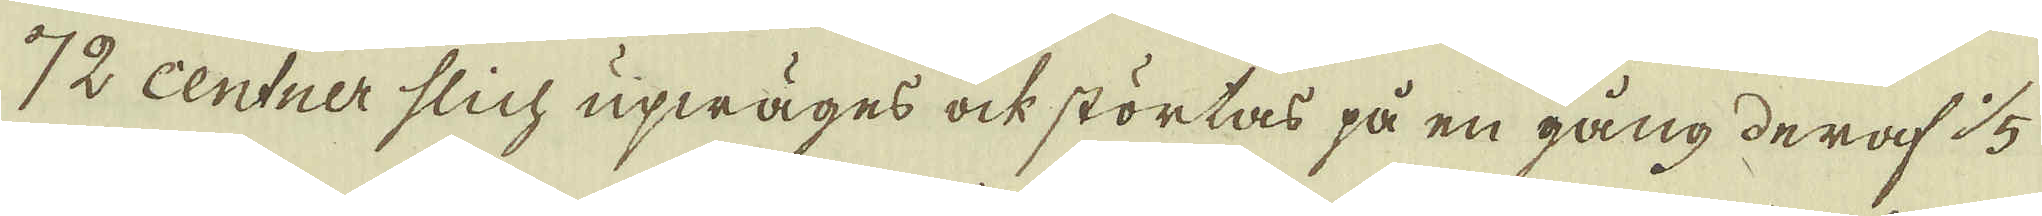72 centner slich upwäges ock störtas på en gång deraf 1/5.
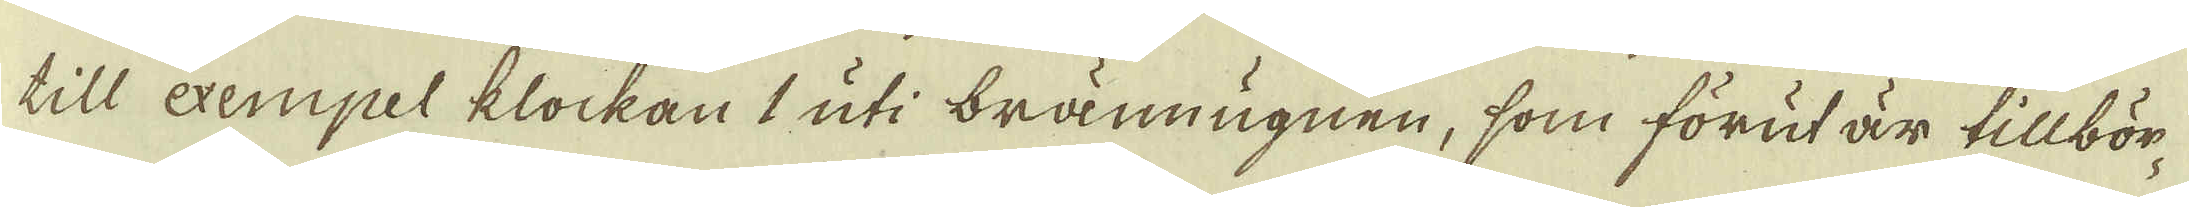till exempel klockan 1 uti brännugnen, som förut är tillbör-
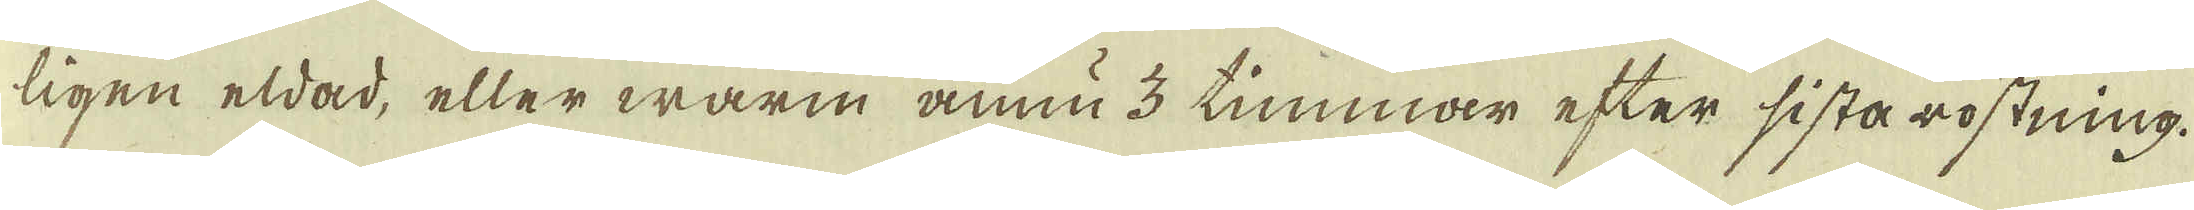ligen eldad, eller warm ännu 3 timmar efter sista rostning.
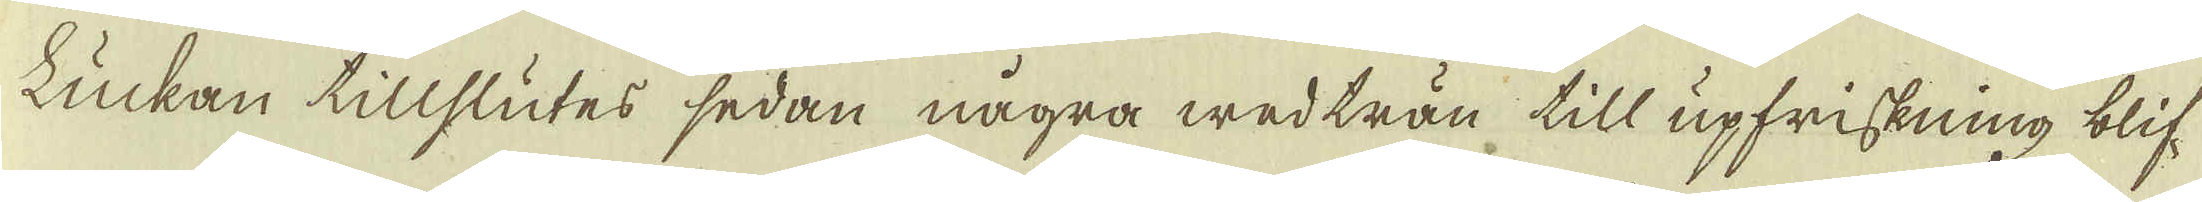Luckan tillslutes sedan några wedträn till upfriskning blif-
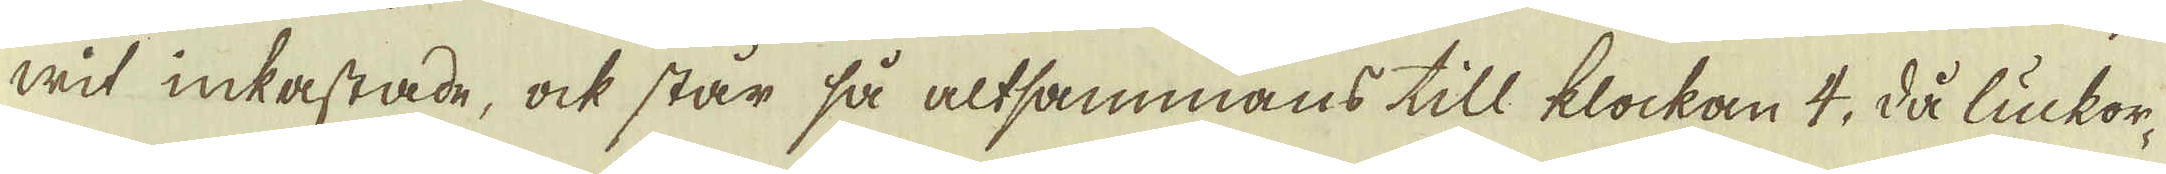wit inkastade, ock står så altsammans till klockan 4, då luckor-
